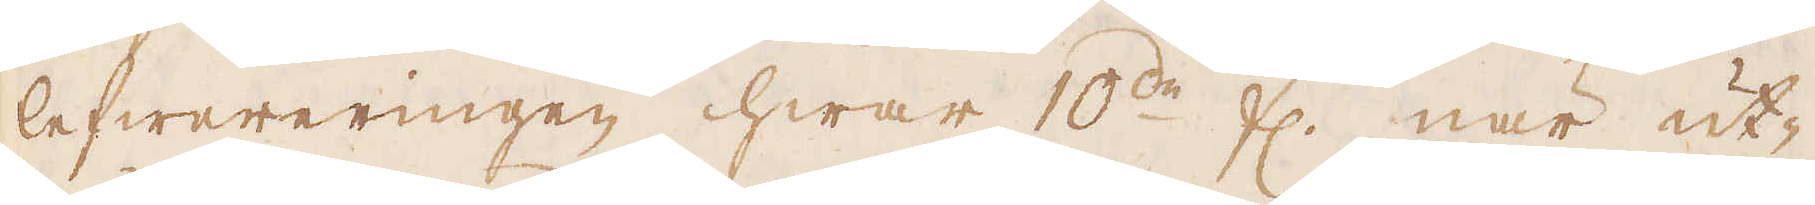lefwereringen hwar 10:de fl. när ut-
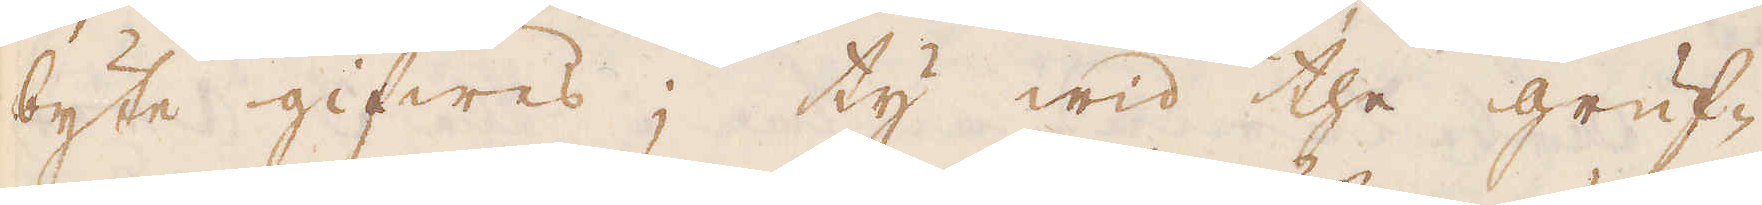byte gifwes; ty wid the gruf-
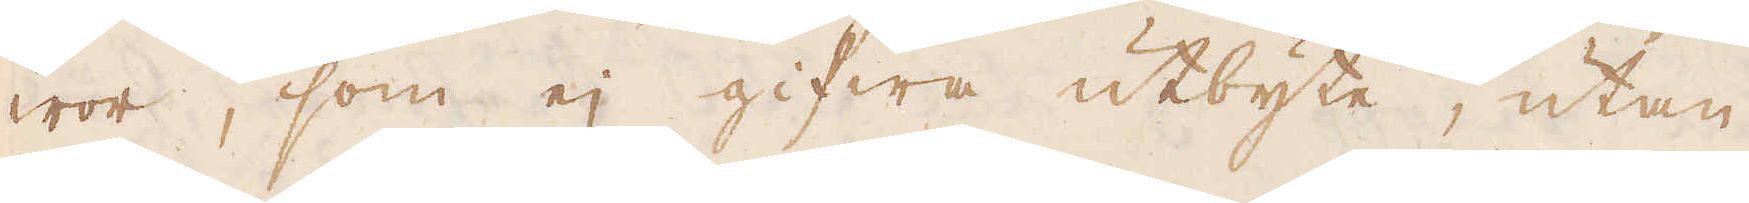wor, som ej gifwa utbyte, utan
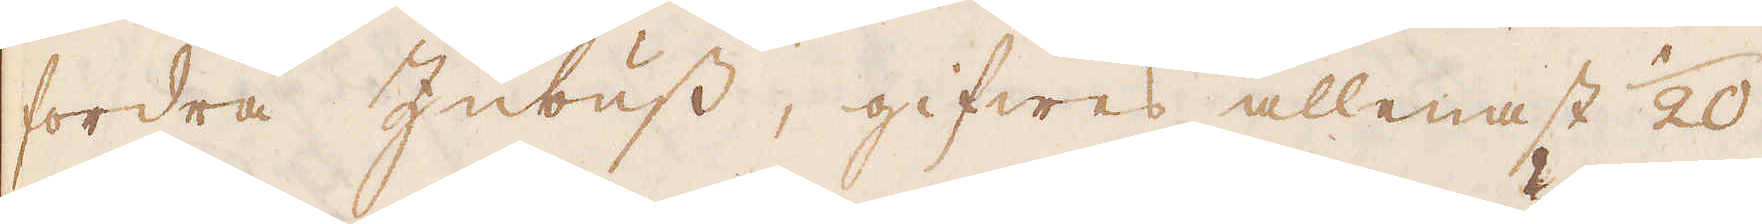fordra Zubuss, gifwes allenast 1/20
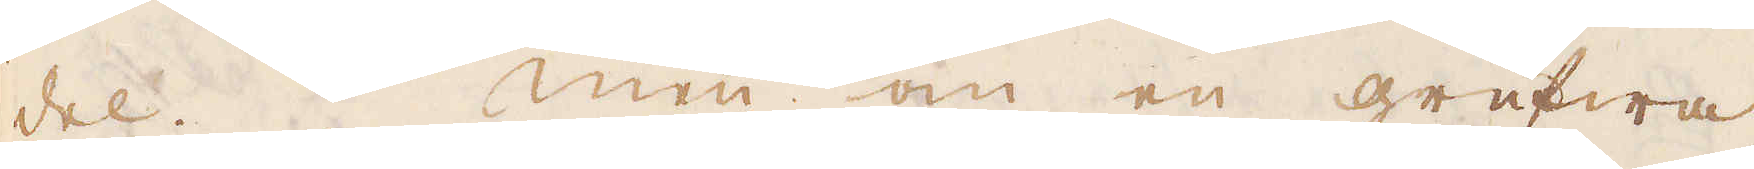del. Men om en grufwa
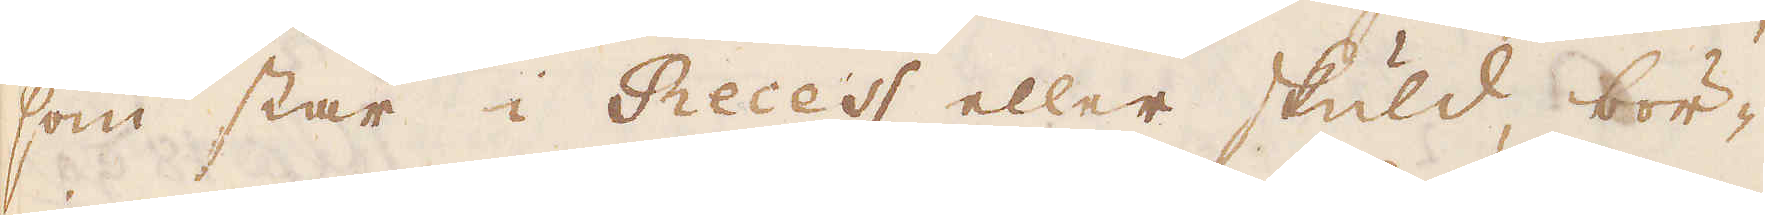som står i Recess eller skuld bör-
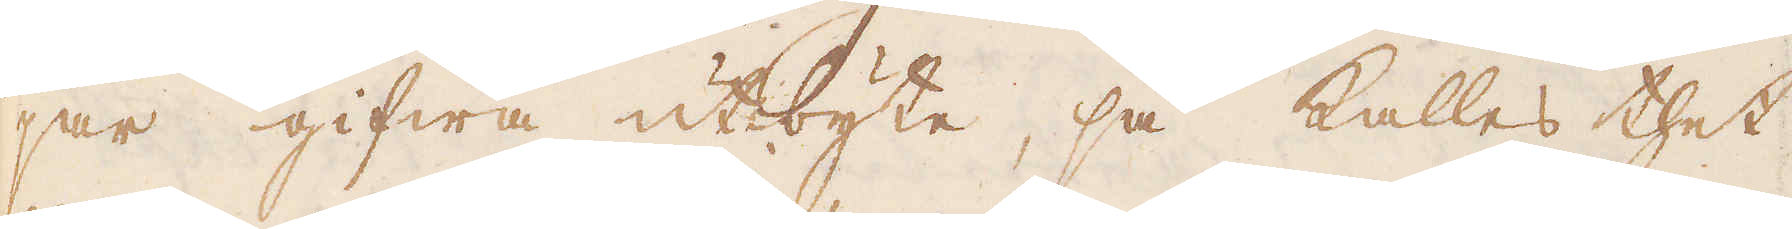jar gifwa utbyte, så kallas thet
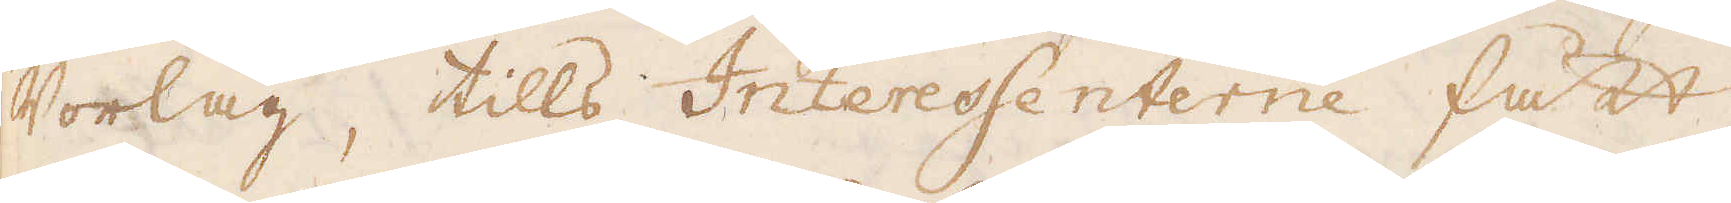Vorlag, tills Interessenterne fått
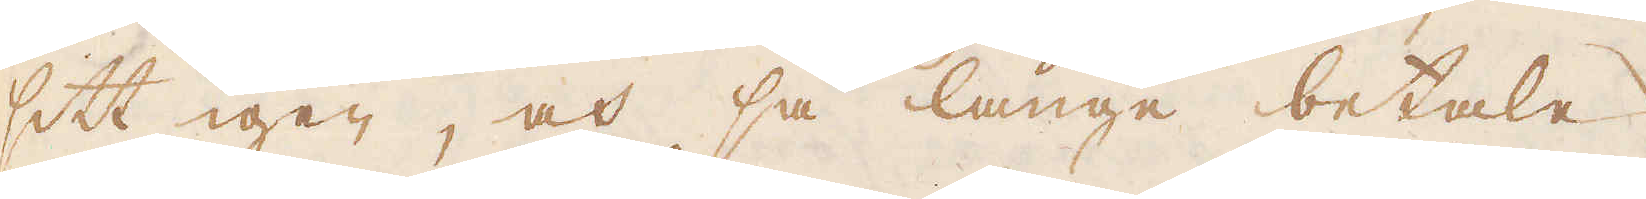sitt igen, och så länge betala
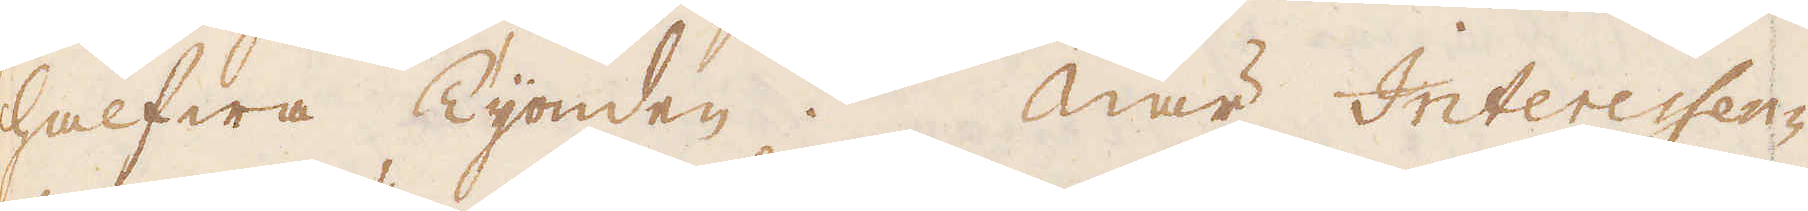halfwa Tijonden. När Interessen-
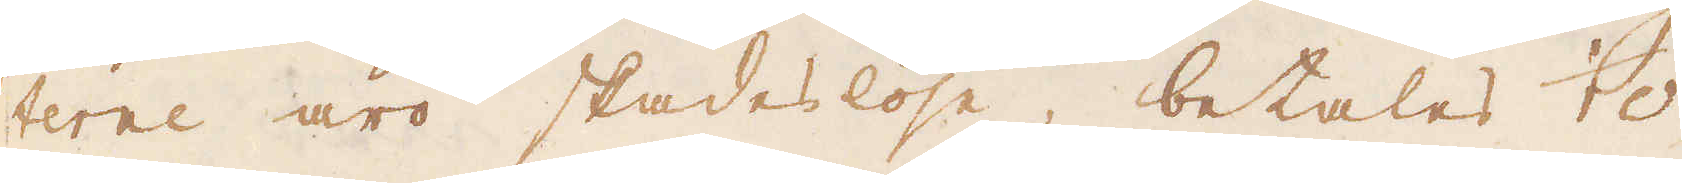terne äro skadeslöse, betalas 1/10
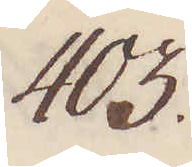403.
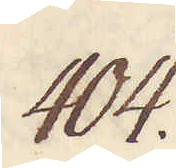404.
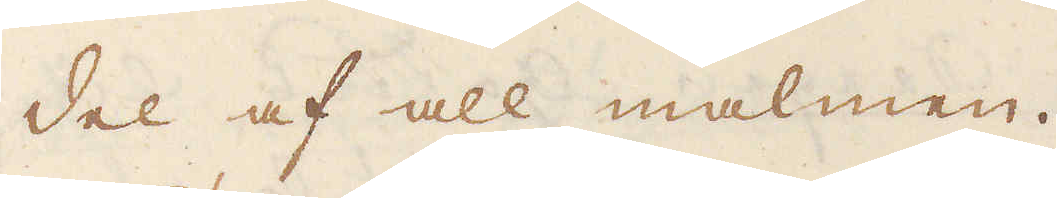del af all malmen.
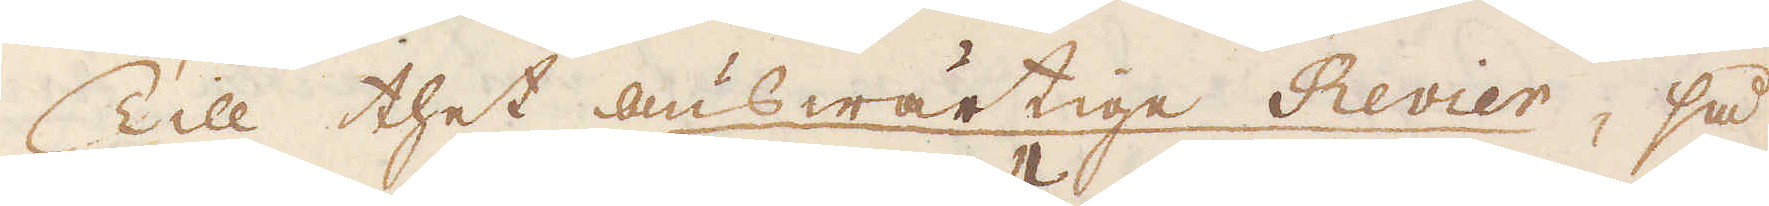Till thet answärtige Revier, så
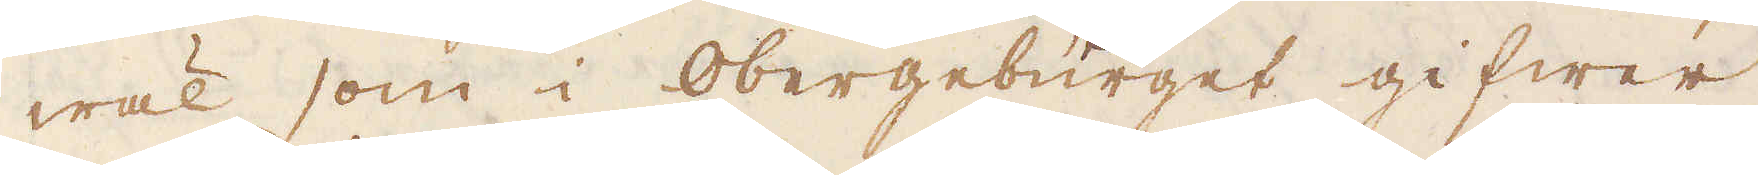wäl som i Obergebürget gifwer
